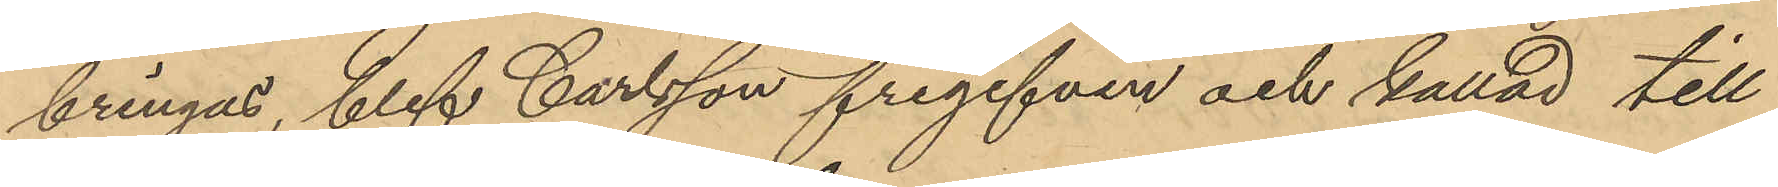bringas, blef Carlsson frigifven och kallad till
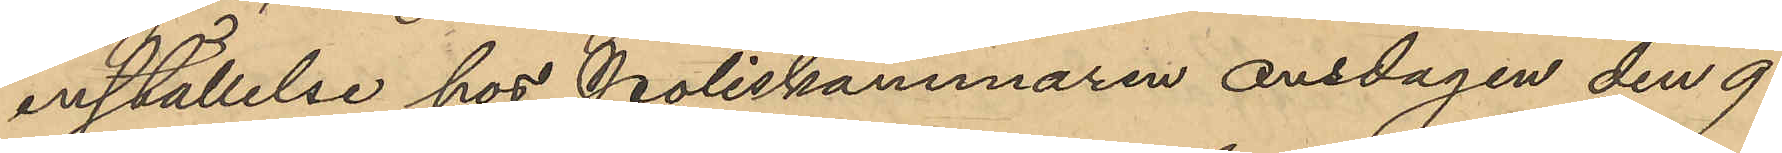inställelse hos Poliskammaren onsdagen den 9
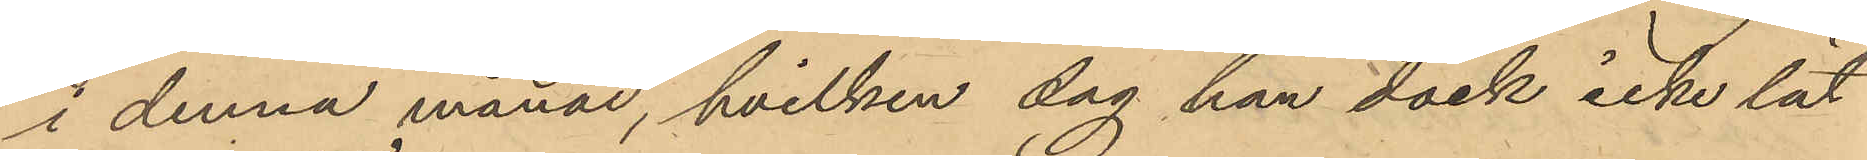i denna månad, hvilken dag han dock icke lät
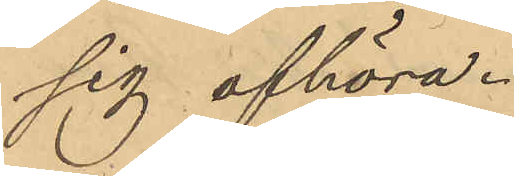sig afhöra.
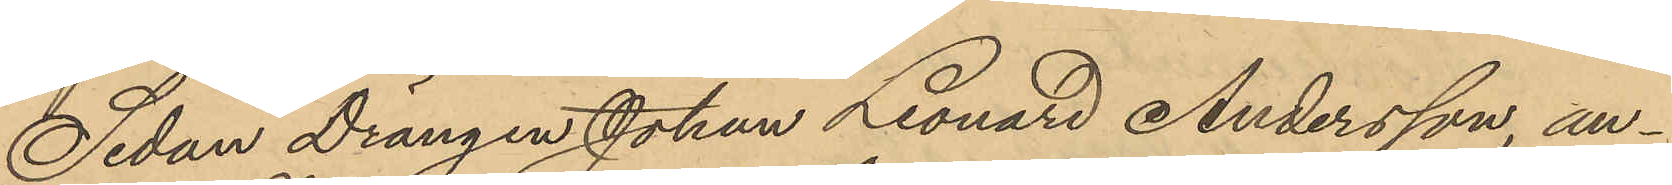Sedan Drängen Johan Leonard Andersson, an¬
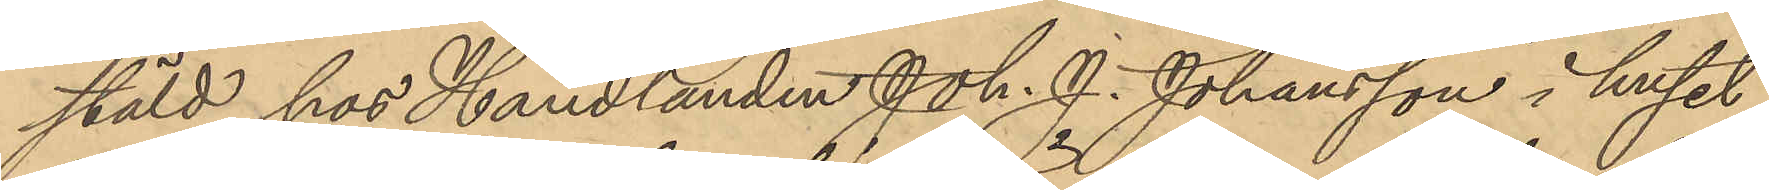stäld hos Handlanden Joh. J. Johansson i huset
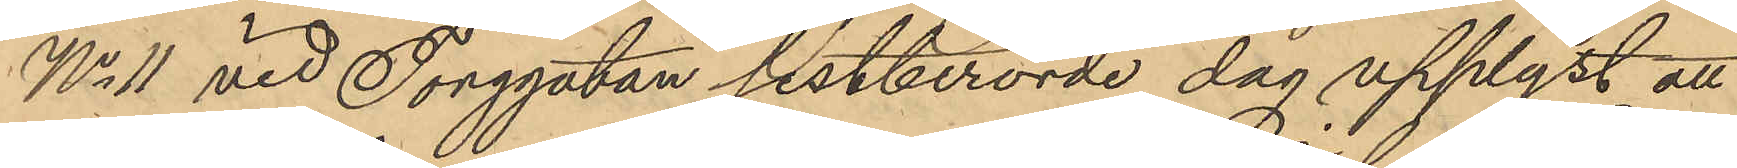No 11 vid Torggatan sistberörde dag upplyst att
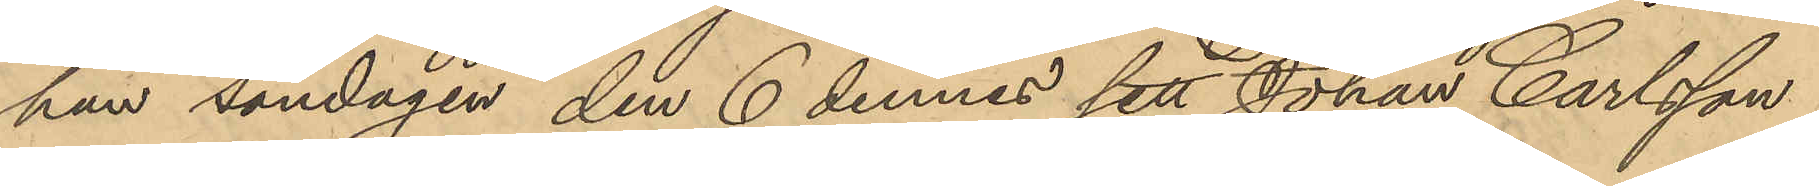han söndagen den 6 dennes sett Johan Carlsson
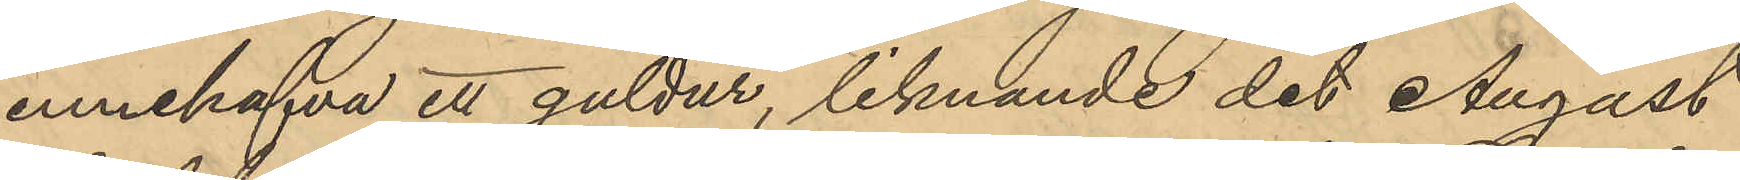innehafva ett guldur, liknande det August
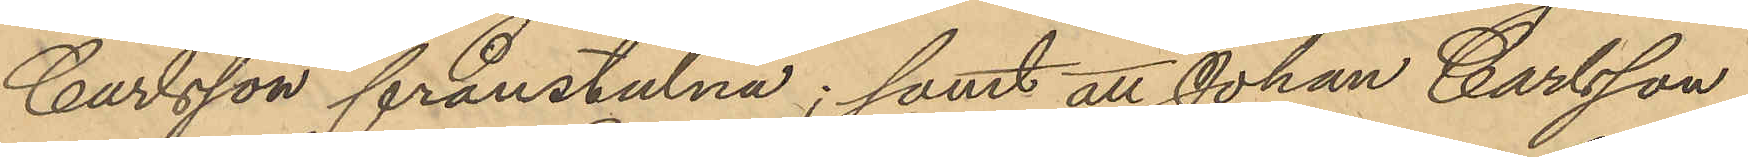Carlsson frånstulna; samt att Johan Carlsson
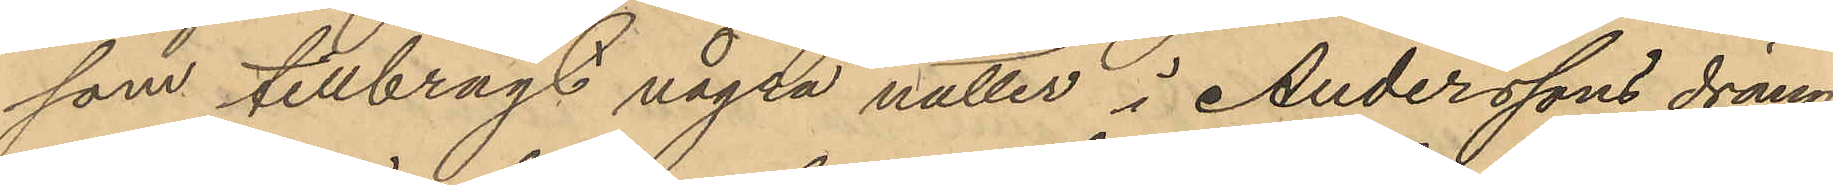som tillbragt några nätter i Anderssons dräng-
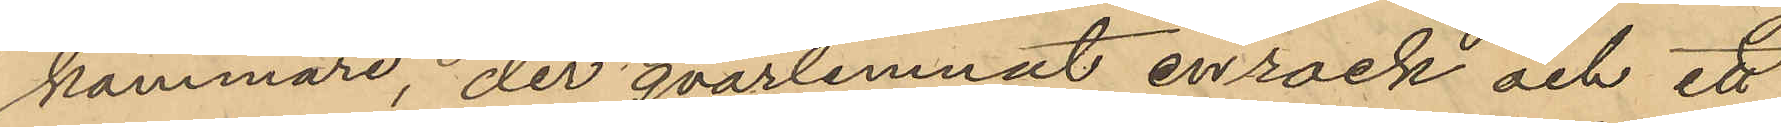kammare, der qvarlemnat en rock och ett
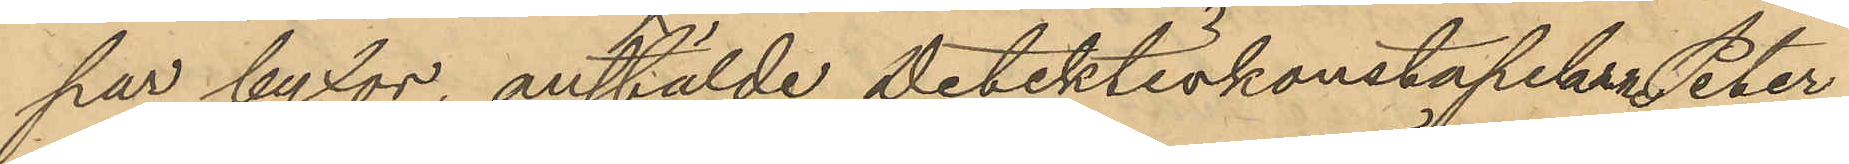par byxor, anstälde detektivkonstapeln Peter
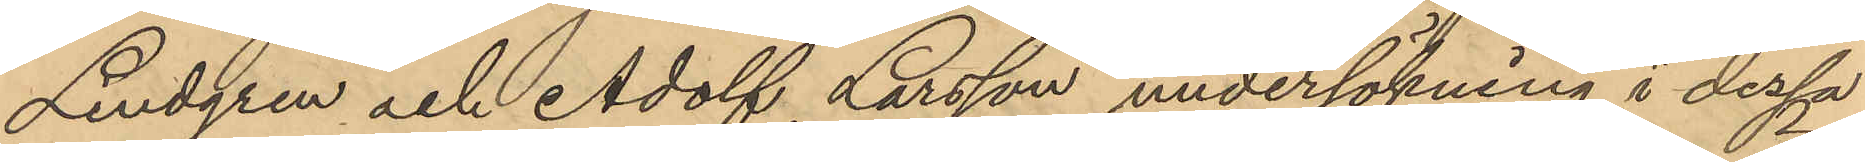Lindgren och Adolf Larsson undersökning i dessa
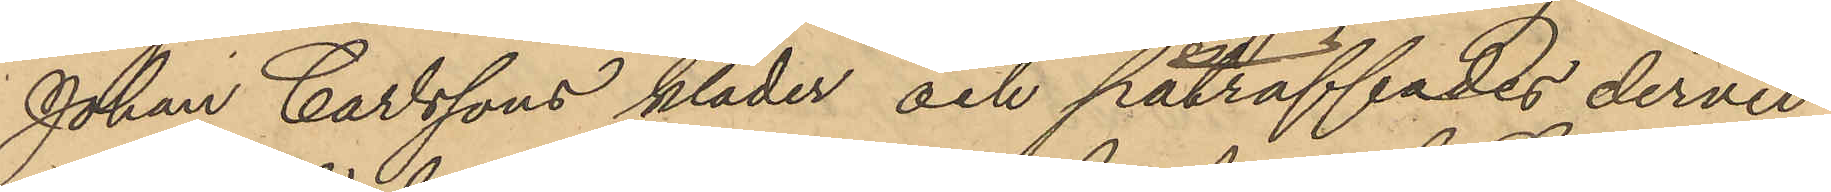Johan Carlssons kläder och påträffades dervid
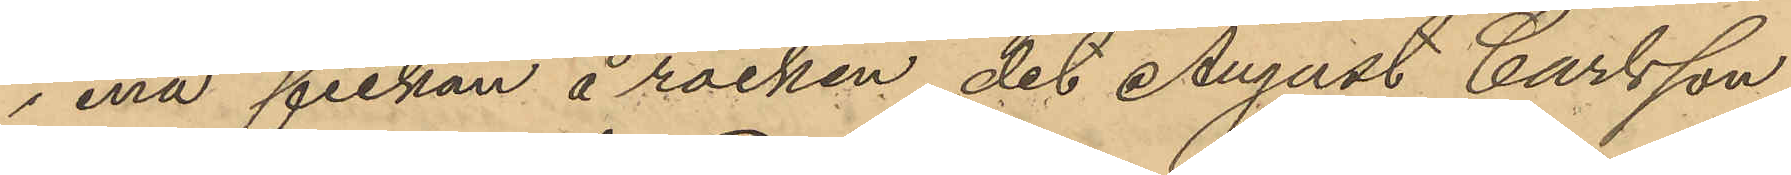i ena fickan å rocken det August Carlsson
